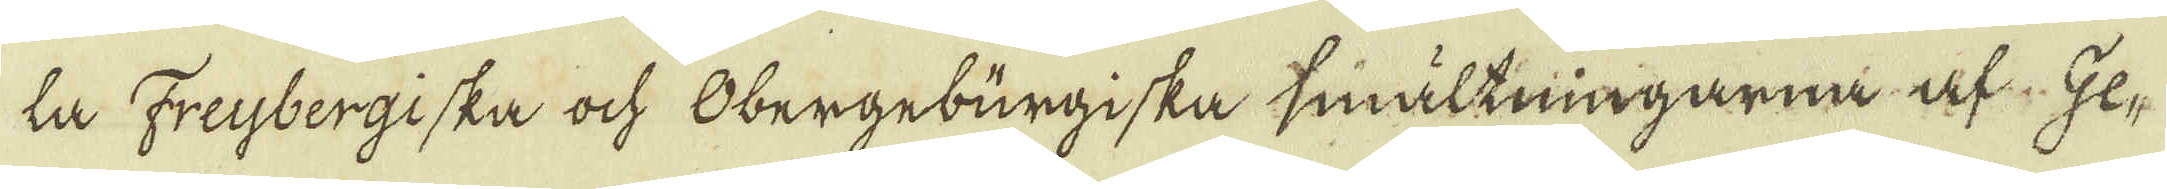la Freybergiska och Obergebürgiska smältningarna af Ge-
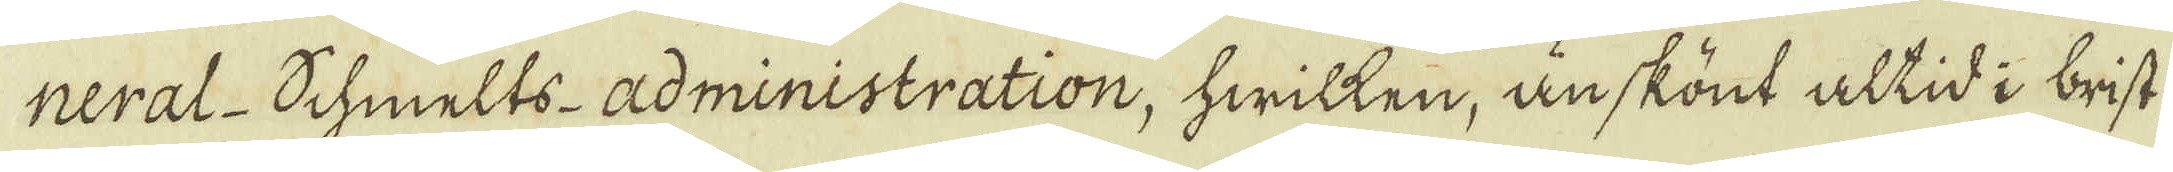neral Schmelts-administration, hwilken, änskönt altid i brist
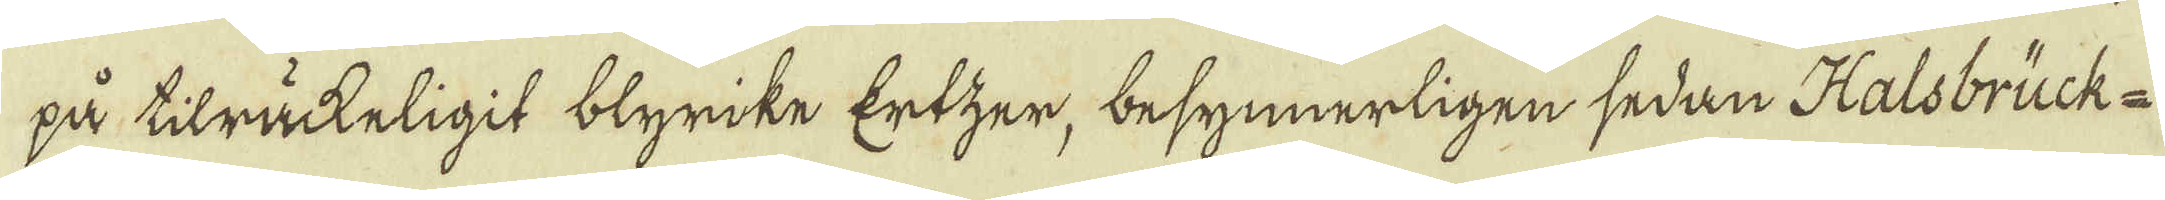på tilräckeligit blyrike Ertzer, besynnerligen sedan Halsbrück-
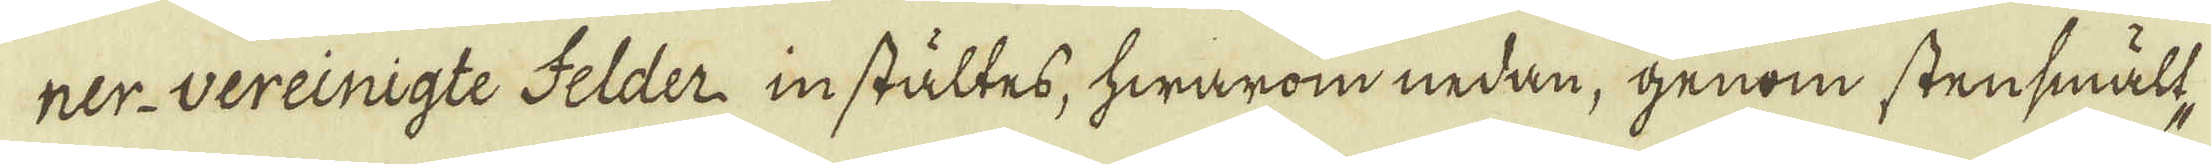ner-vereinigte Felder instältes, hwarom nedan, genom stensmält-
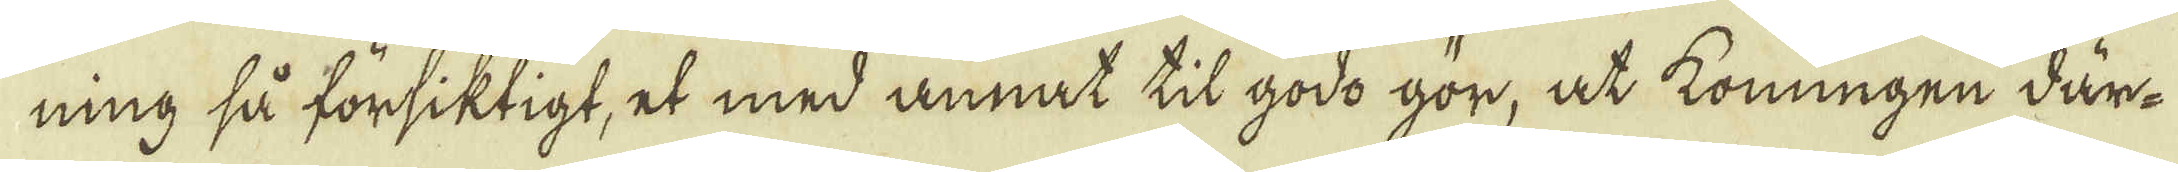ning så försiktigt, et med annat til godo gör, at Konungen där-
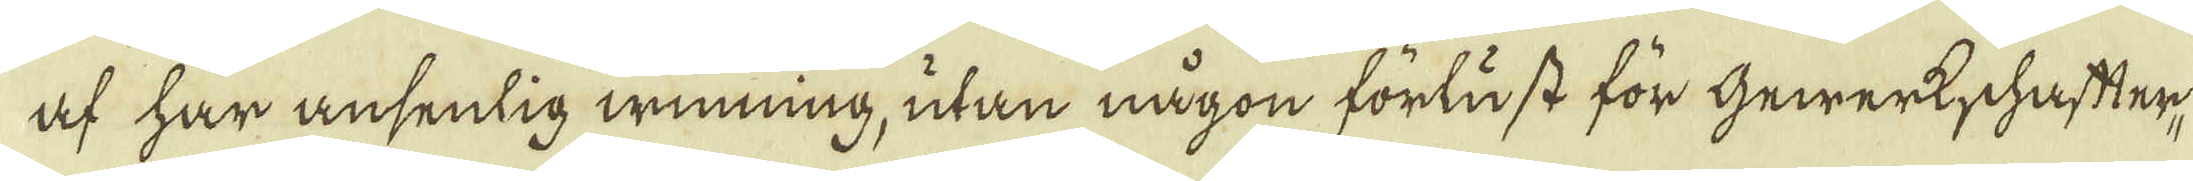af har ansenlig winning, utan någon förlust för Gewerkschafter-
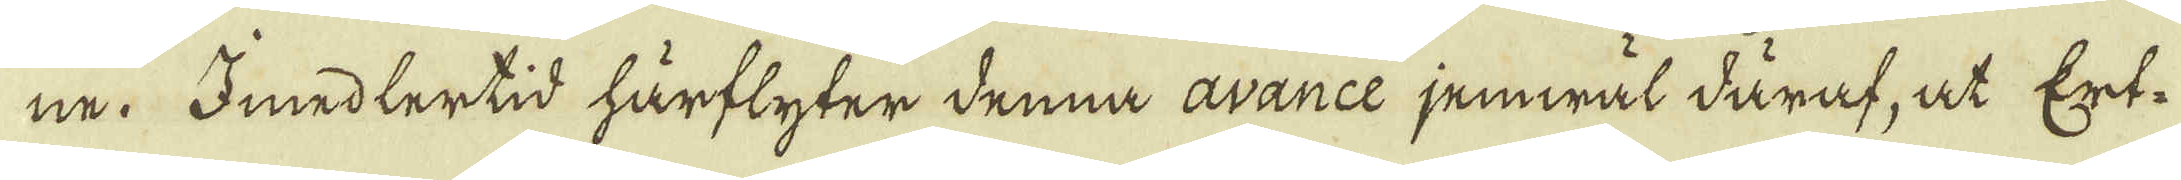ne. Imedlertid härflyter denna avance jemwäl däraf, at Ert-
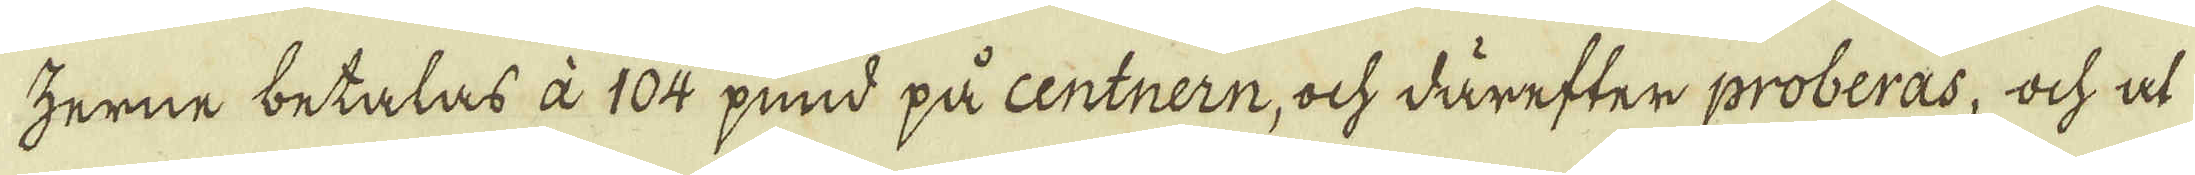zerne betalas à 104 pund på centnern, ock därefter proberas, ock at
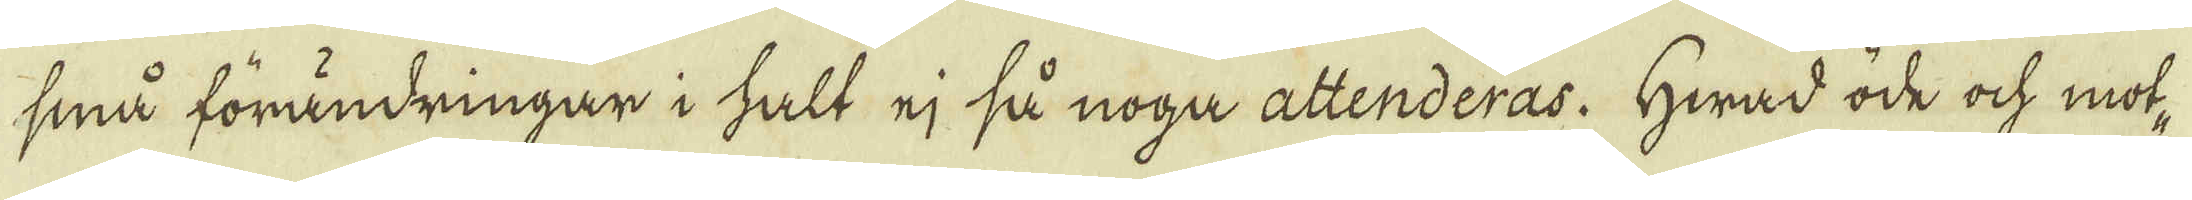små förändringar i halt ej så noga attenderas. Hwad öde och mot-
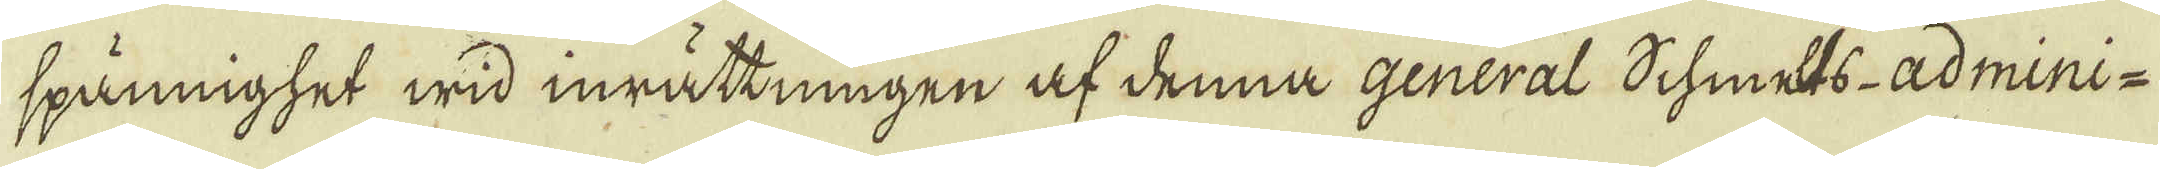spännighet wid inrättningen af denna general Schmelts-Admini-
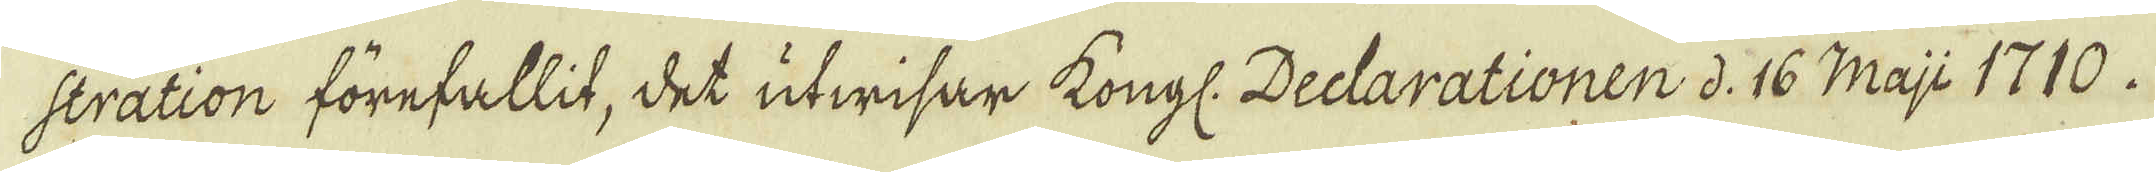stration förefallit, det utwisar Kongl. Declarationen d: 16 Maji 1710.
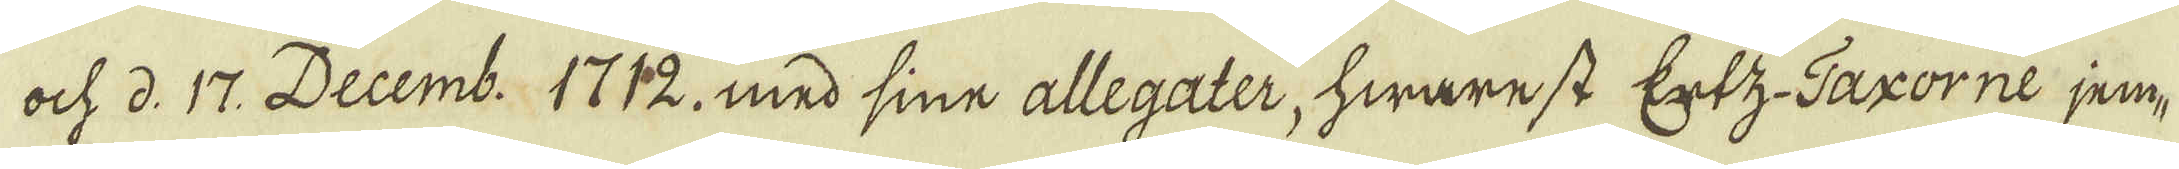och d. 17. Decemb: 1712. med sine allegater, hwarest Ertz Taxorne jem-
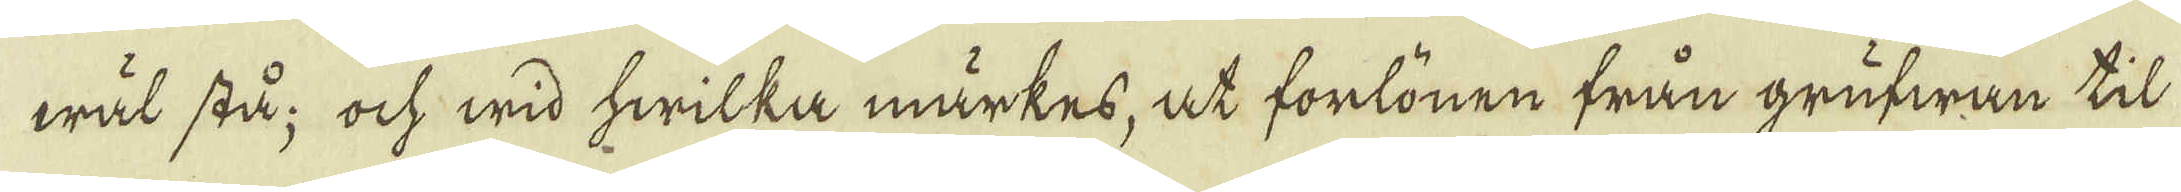wäl stå; ock wid hwilka märkes, at forlönen från grufwan til
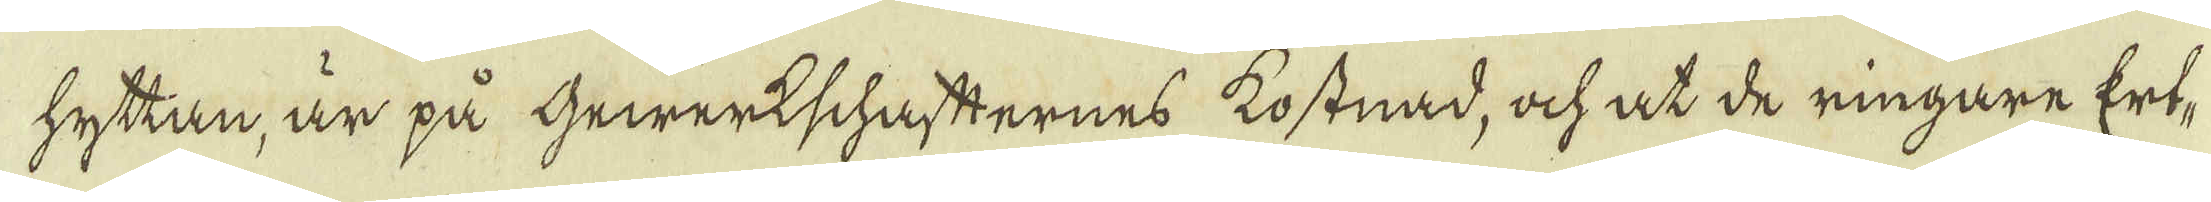hyttan, är på Gewerkschafternes kostnad, ock at de ringare Ert-
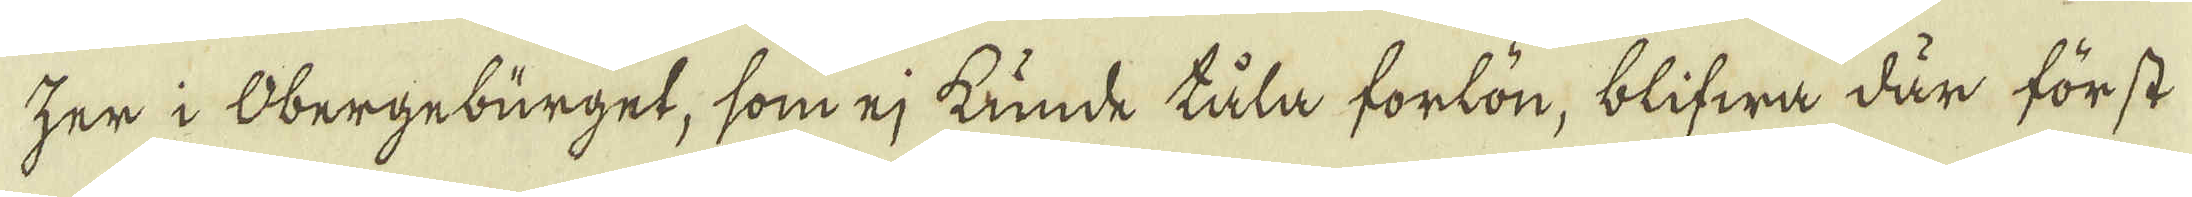zer i Obergebürget, som ej kunde tåla forlön, blifwa där först
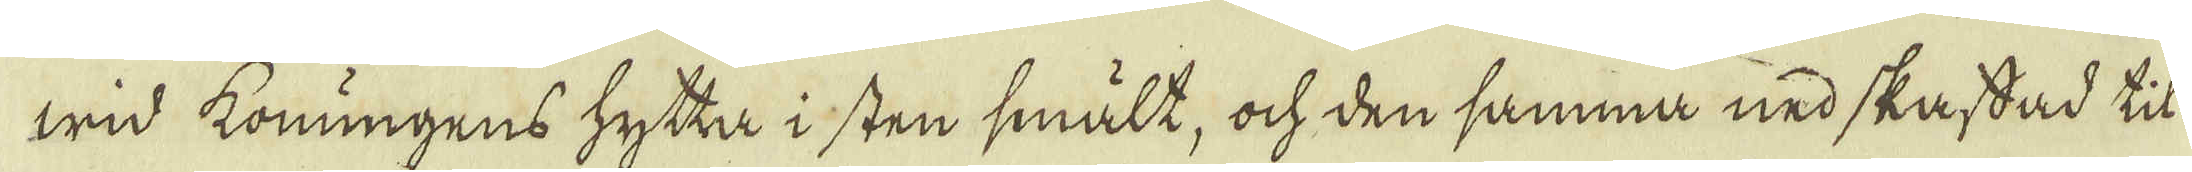wid konungens hytta i sten smält, och den samma nedskafdad til
